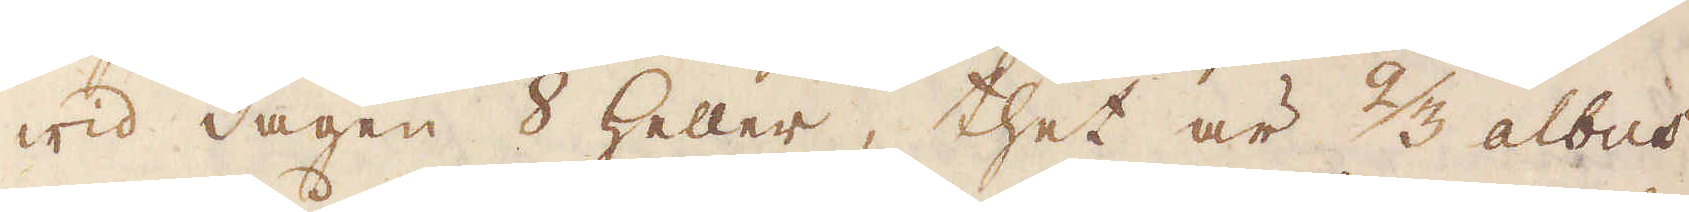wid dagen 8 Heller, thet är 2/3 albus,
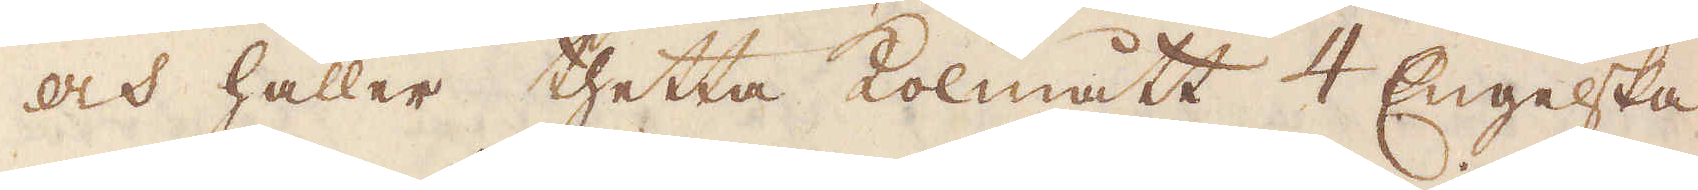och håller thetta Kolmått 4 Engelska
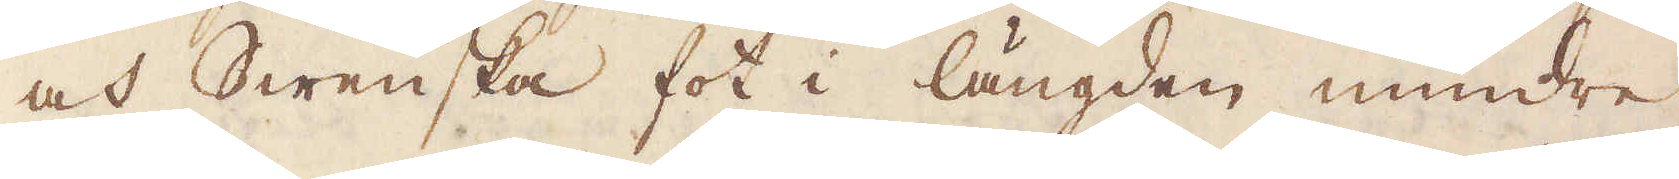och Swenska fot i längden mindre
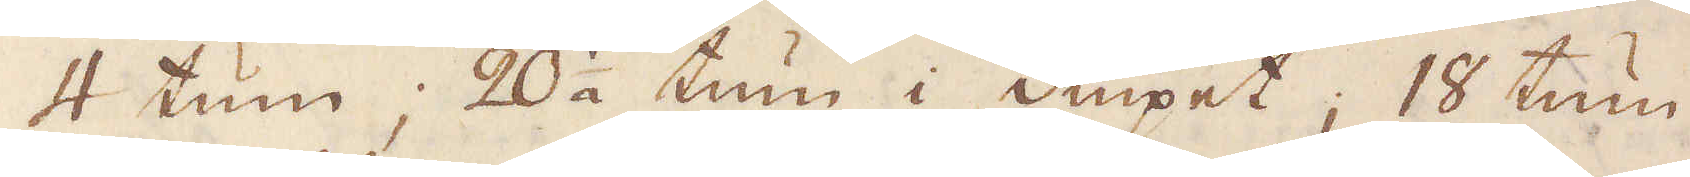4 tum; 20 1/2 tum i diupet; 18 tum
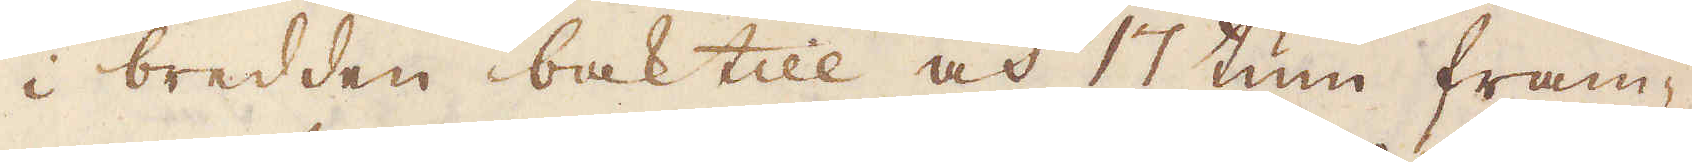i bredden baktill och 17 tum fram-
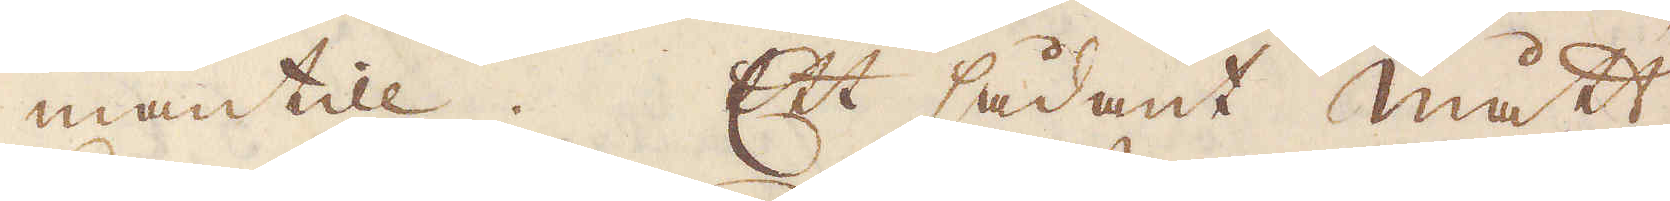mantill. Ett sådant mått
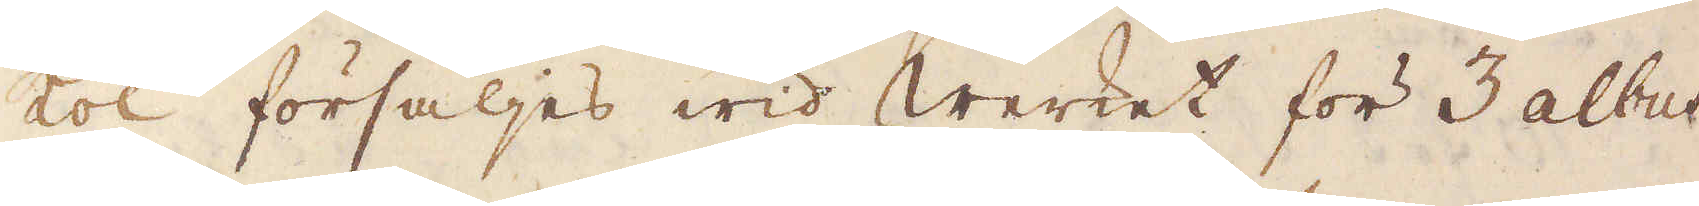Kol försäljes wid Werket för 3 albus
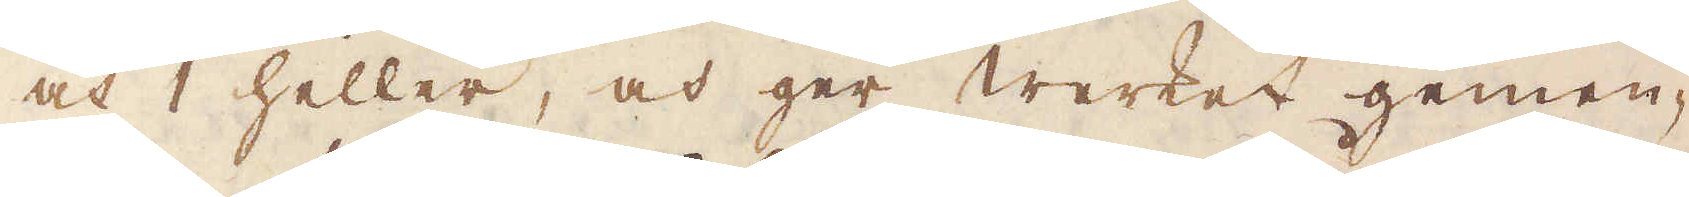och 1 heller, och ger Werket gemen-
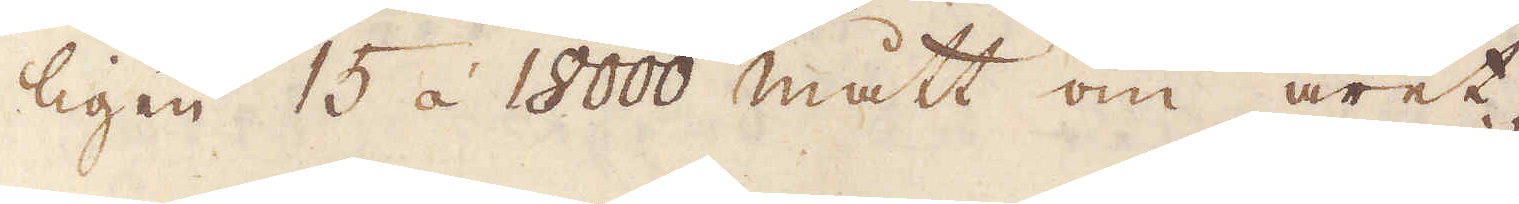ligen 15 à 18000 mått om året.
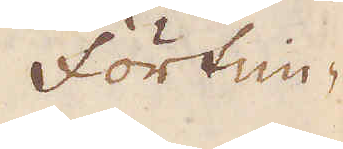Förtim-
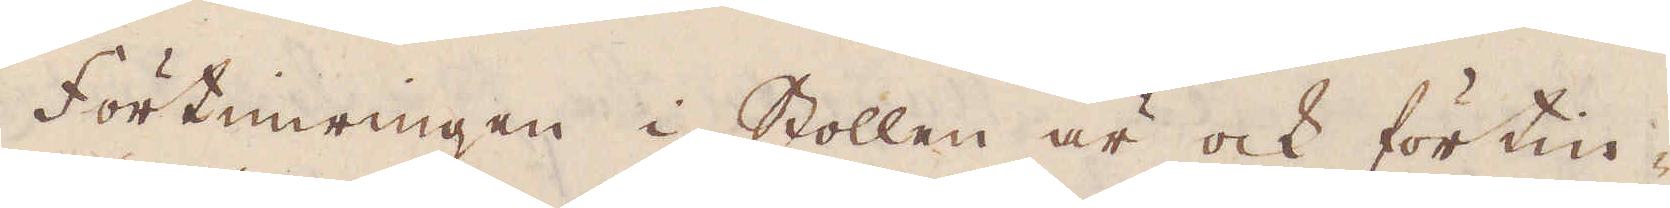Förtimringen i Stollen är ock förtin-
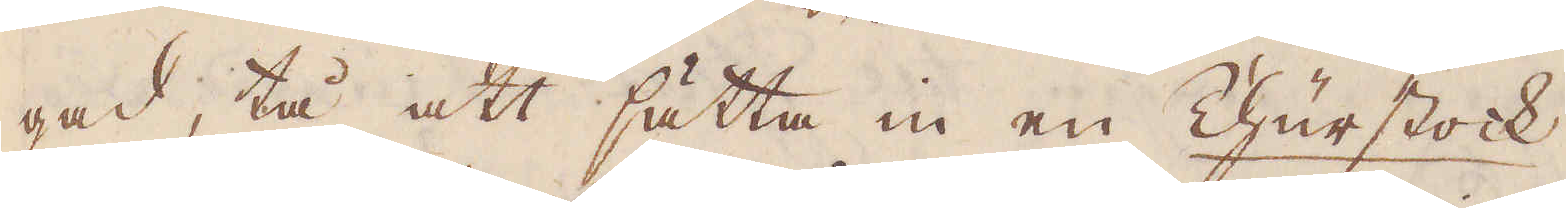gad, tå att sätta in en Churstock,
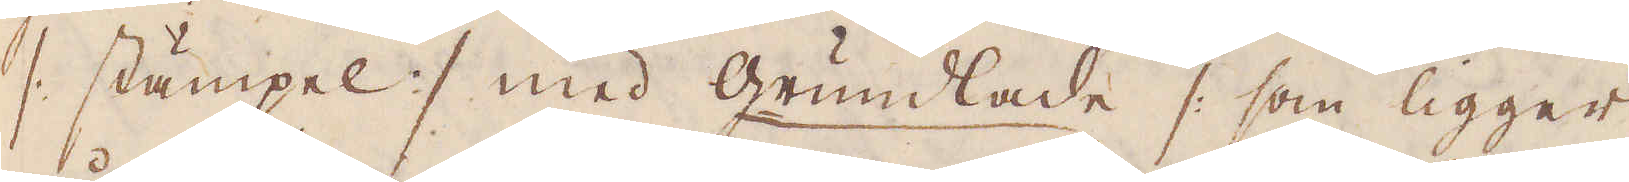/: stämpel :/ med Grundlade /: som ligger
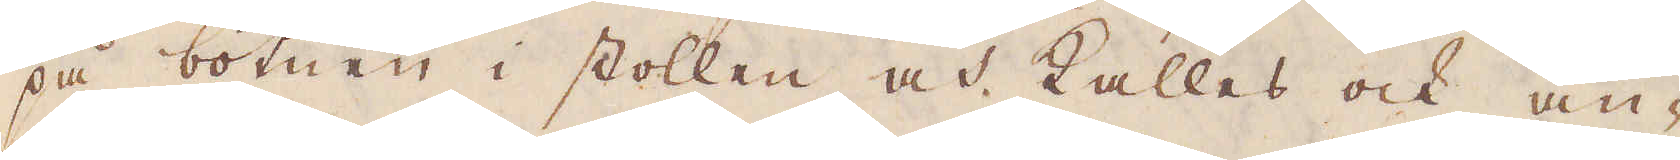på botnen i stollen och kalles ock an-
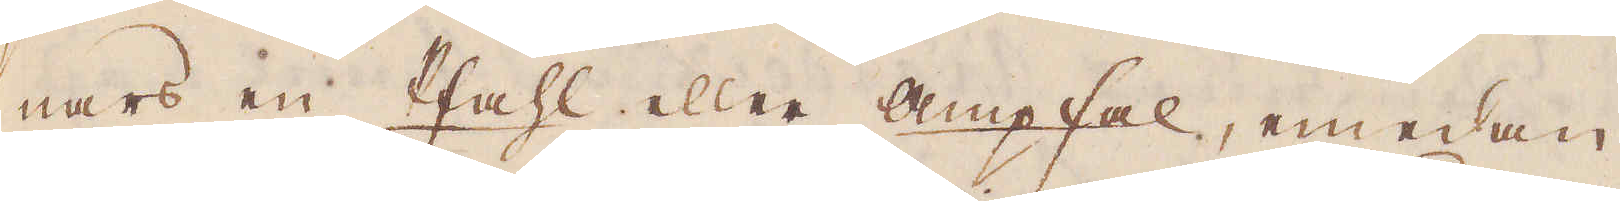nars en Pfahl eller Ampfal, emedan
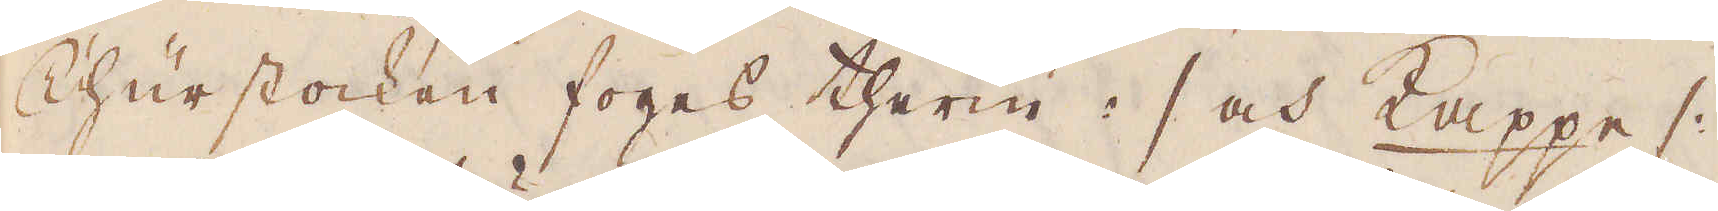Churstocken foges therin :/ och Kappe /:
